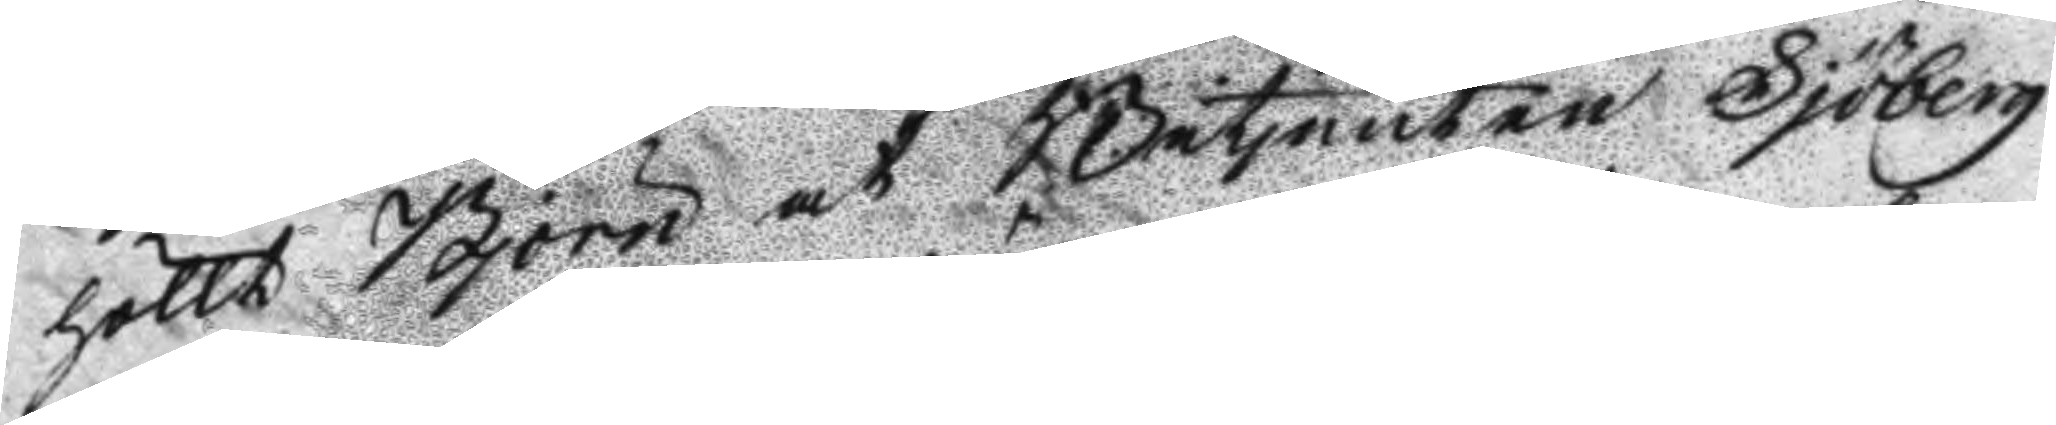höllt Björn at Betjenten Sjöberg
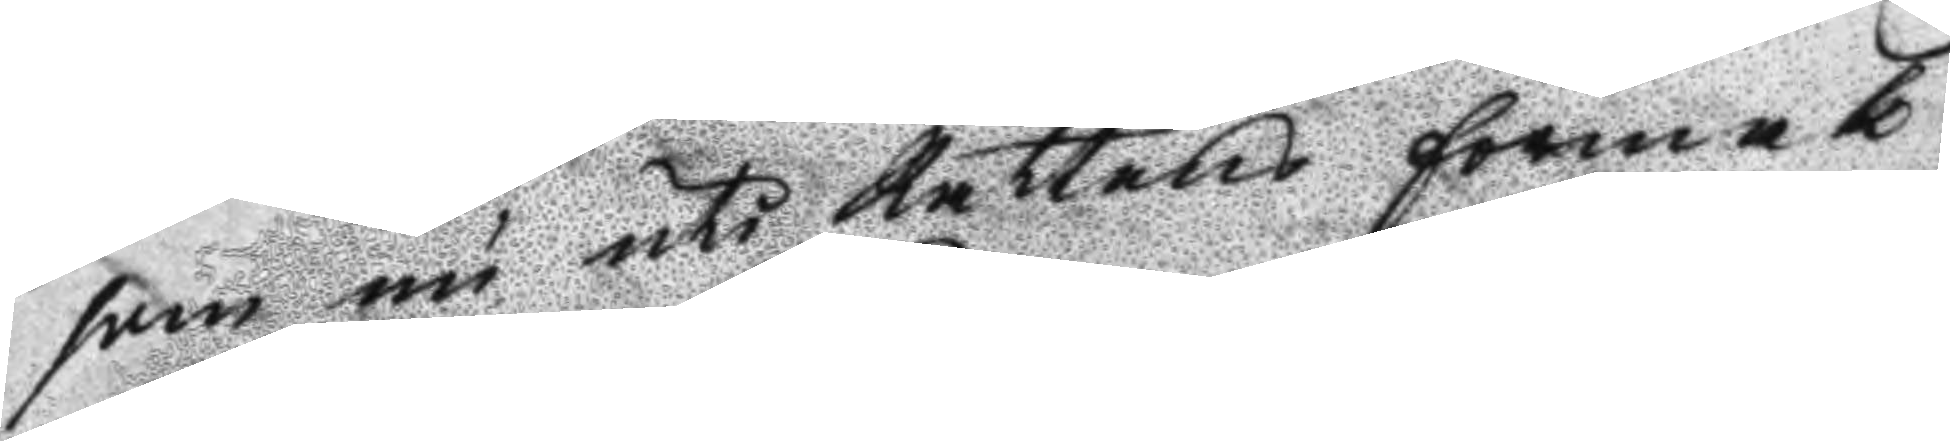som nu uti Rättens förmak
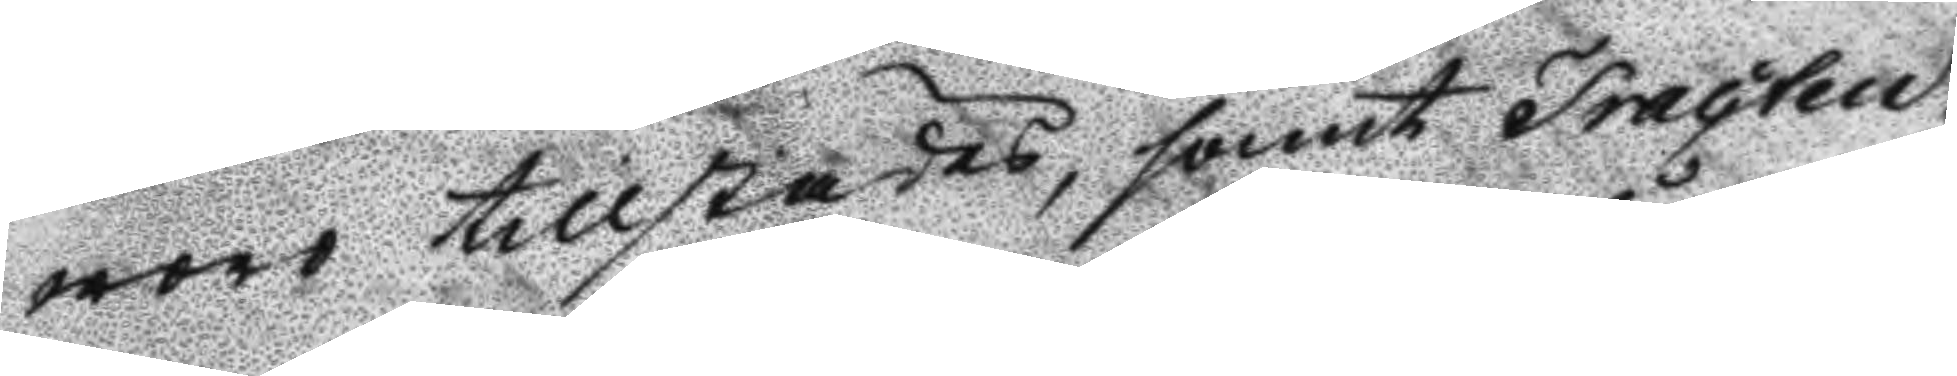woro tillstädes, samt tracteu¬
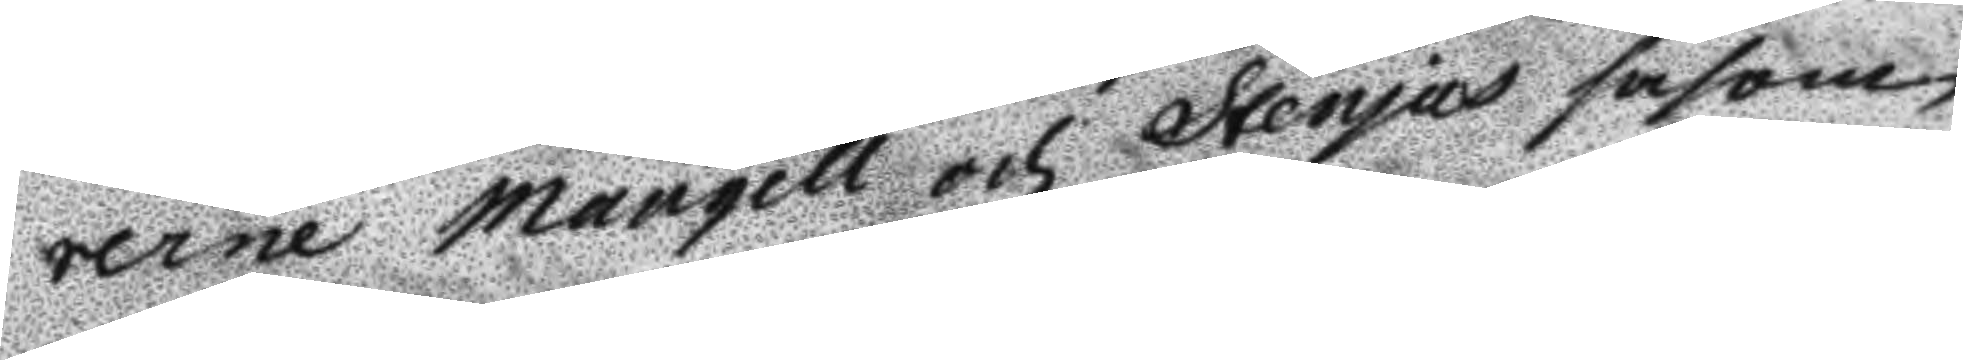rerne Mauqell och Stenjus såsom
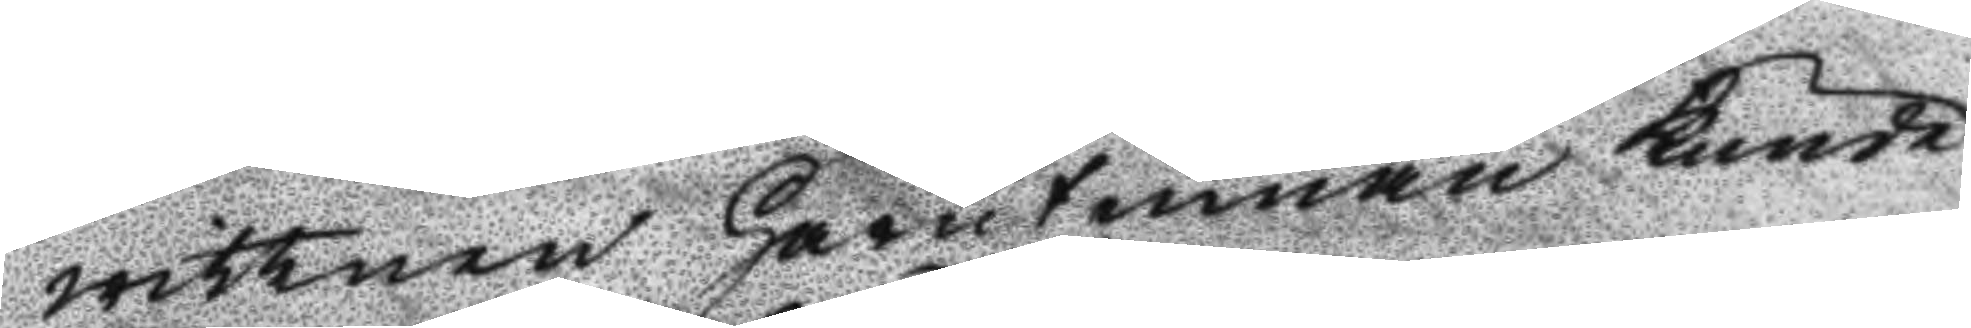wittnen Härutinnan kunde
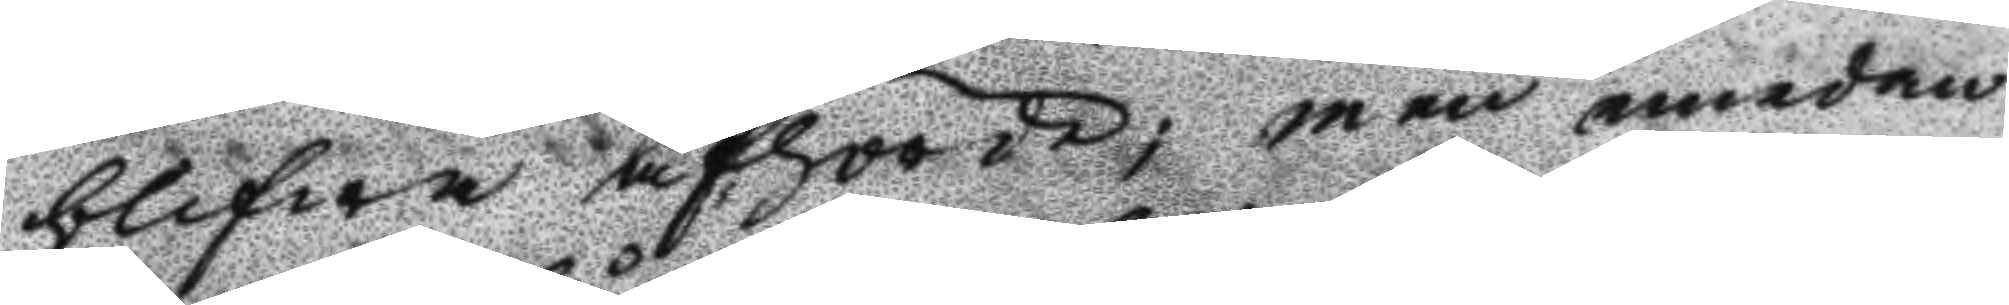blifwa afhörde; men emedan
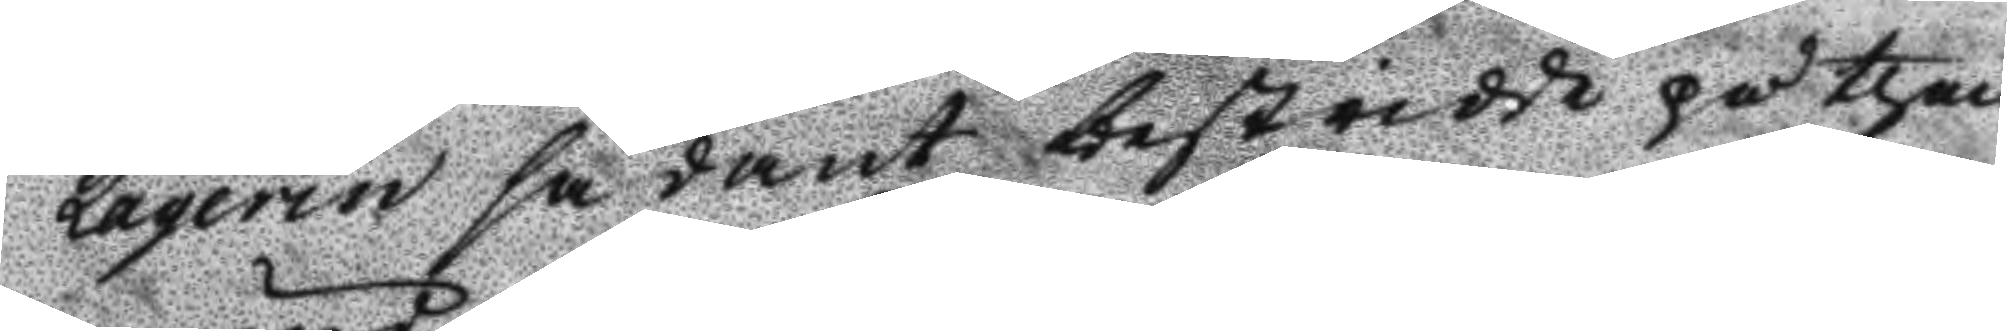Laqerin sådant bestridde på then
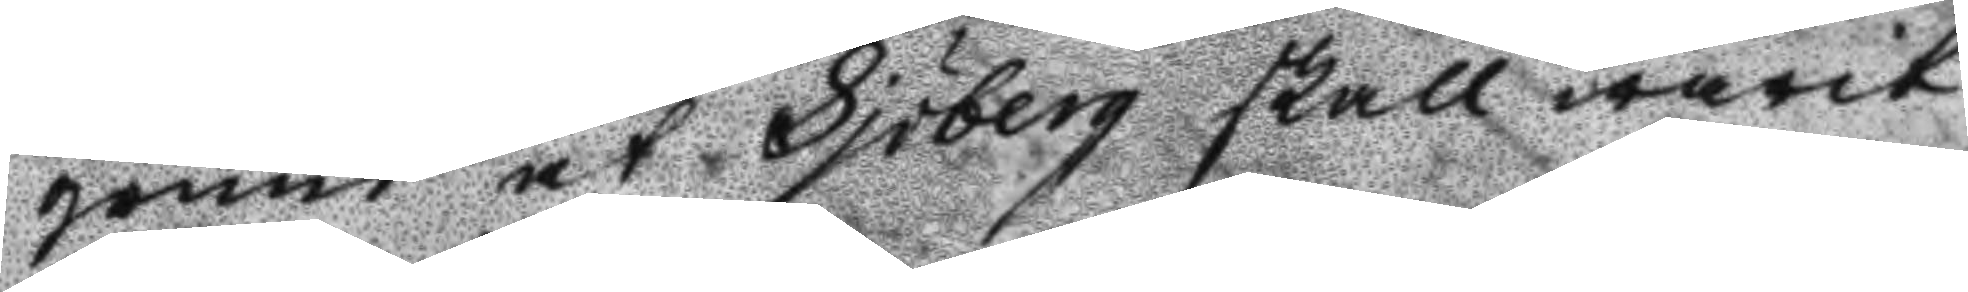grund at Sjöberg skall warit
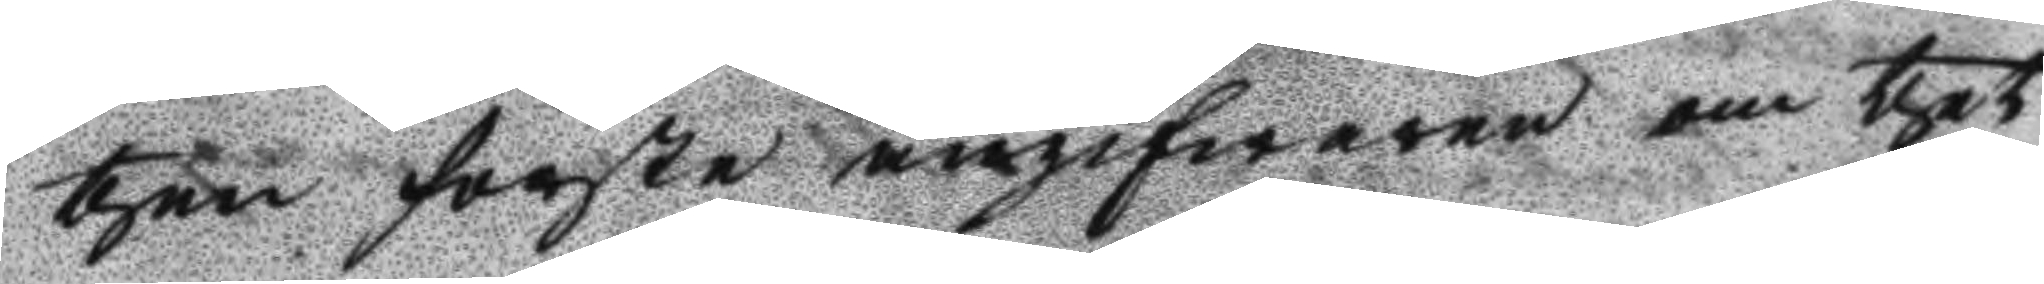then förste angifwaren om thet 
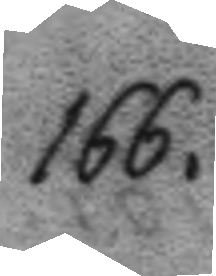166.
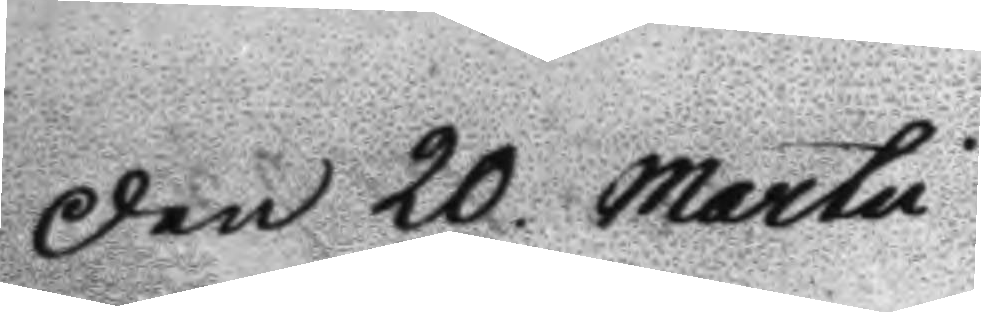Den 20 Martii
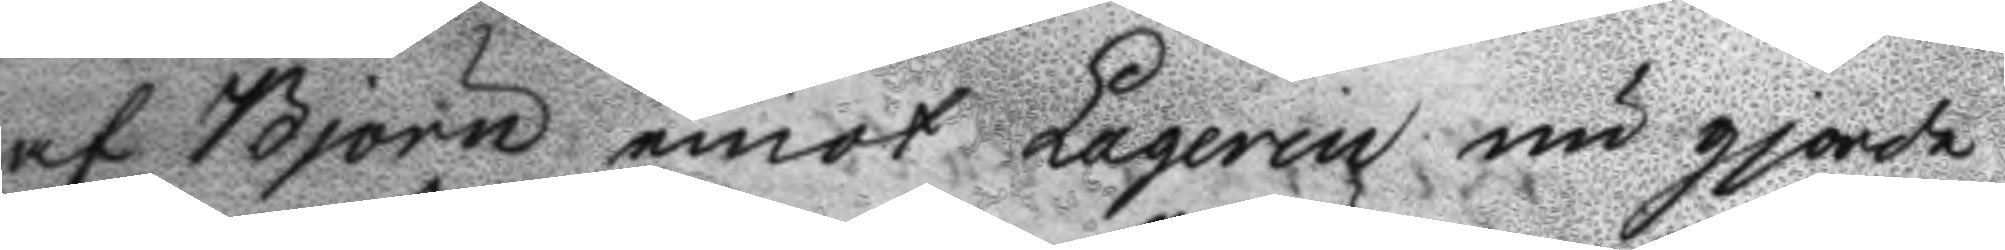af Björn emot Laqerin nu gjorde
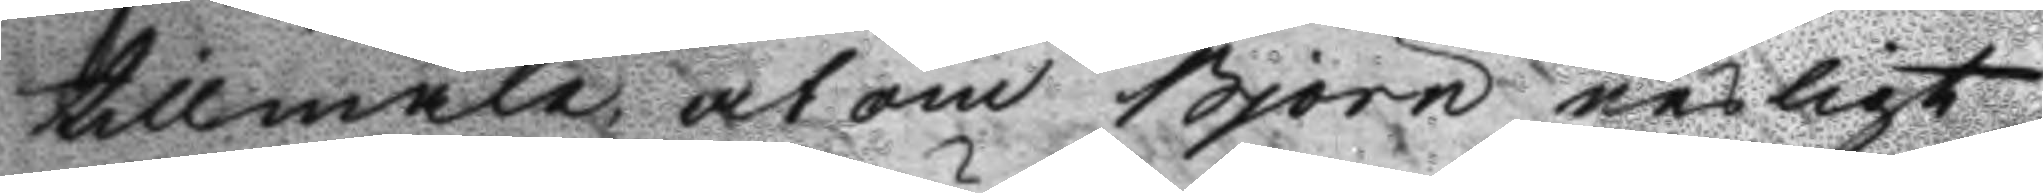tillmäle at om Björn nesligt
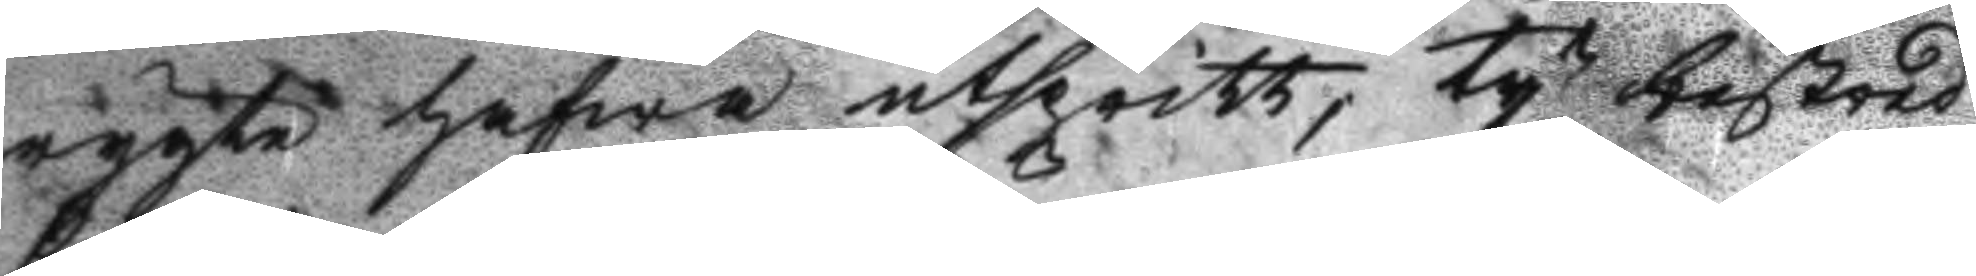rygte hafwa utspritt, ty bestred
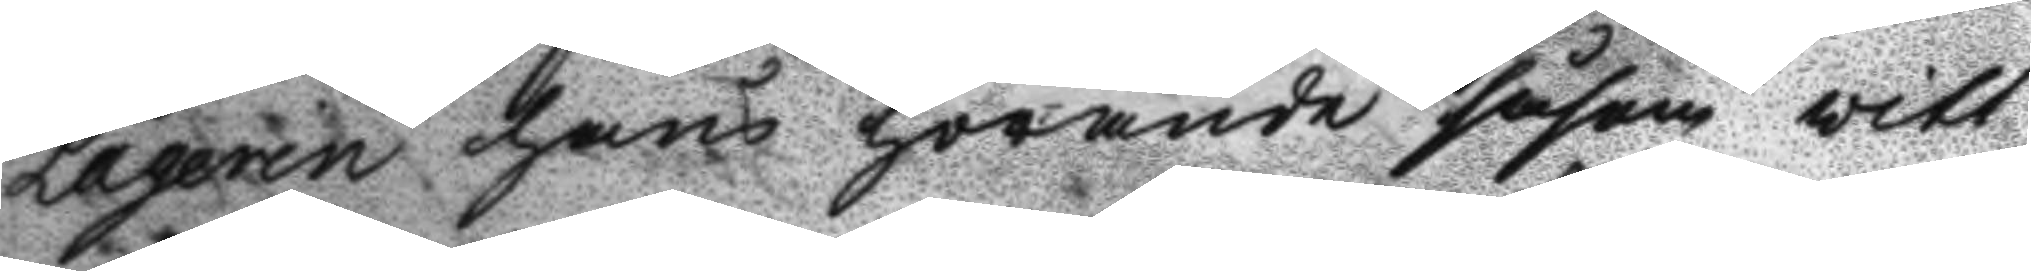Laqerin hans hörande såsom vitt¬
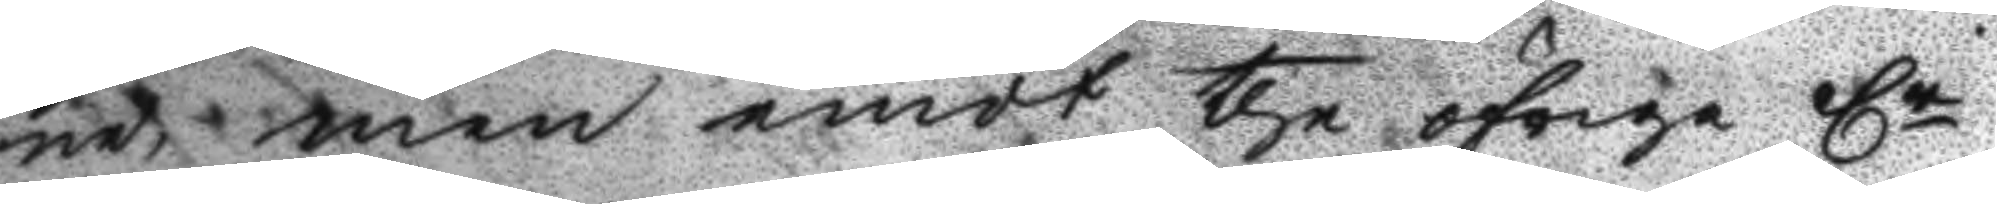ne, men emot the öfrige Cr
